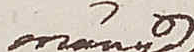mängd
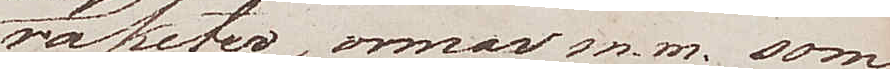raketer, ormar m.m. som
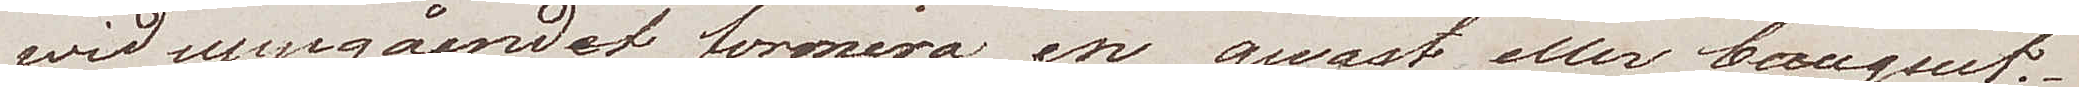vid uppgåendet formera en quast eller Bouquet.
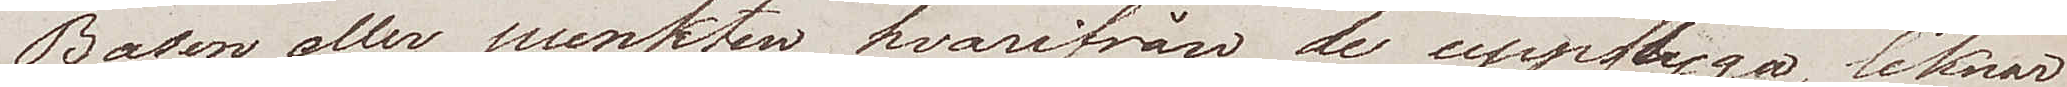Basen eller punkten hvarifrån de uppflyga, liknar
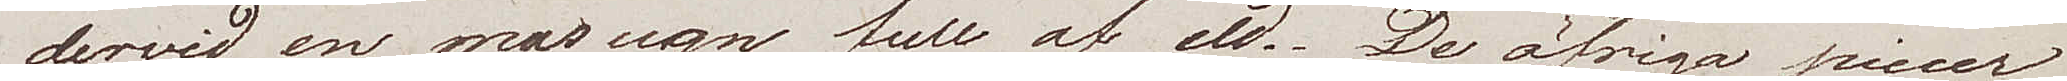dervid en masugn full af eld. De öfriga piecer
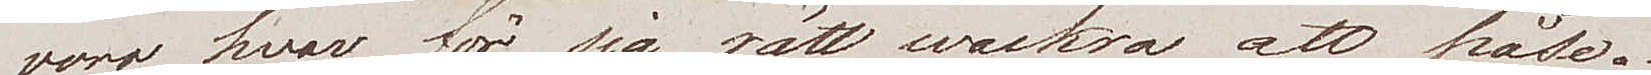voro hvar för sig rätt wackra att påse.
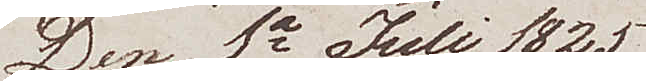Den 1a juli 1825
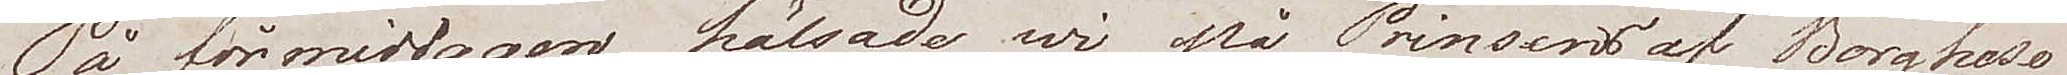På förmiddagen hälsade vi på Prinsens af Borghese
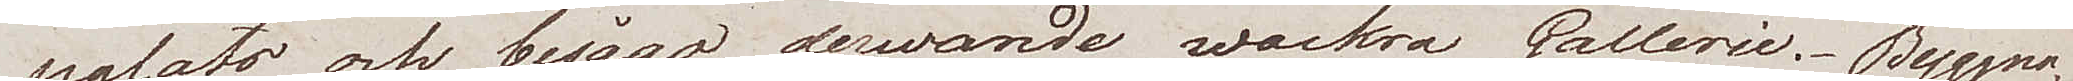palats och besågo derwarande wackra Gallerie. Byggna¬
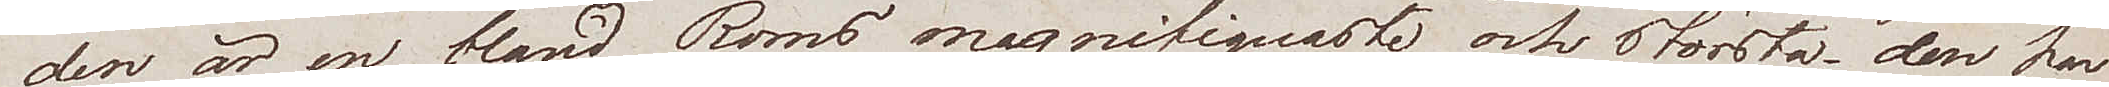den är en bland Roms magnifiquaste och största, den har
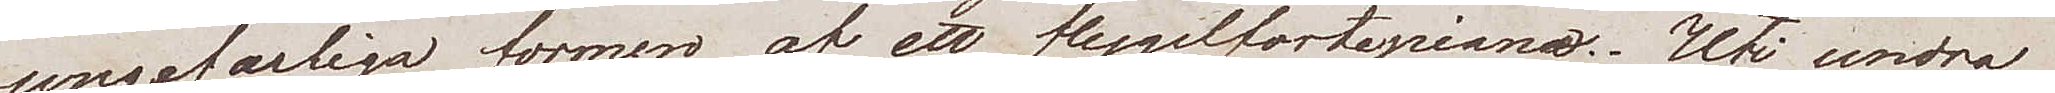ungefärliga former af ett flygelfortepiano. Uti andra
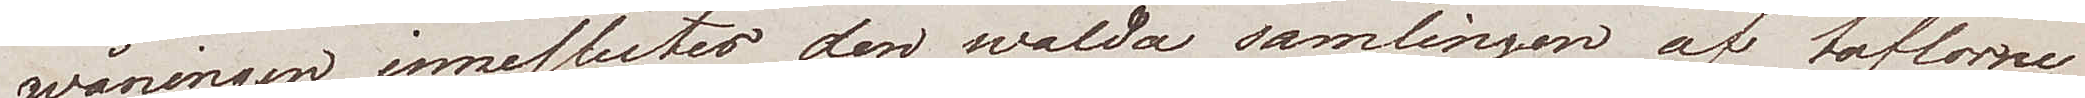wåningen innesluter den walda samlingen af taflorne
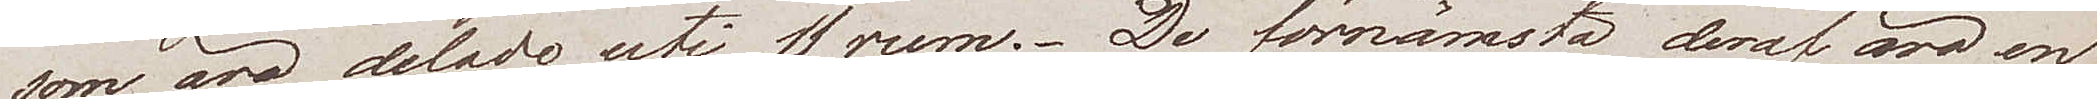som äro delade uti 11 rum. De förnämsta deraf äro en
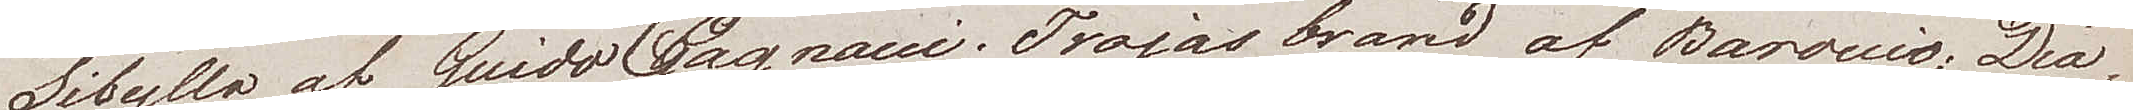Sibylla af Guido Cagnacci, Trojas brand af Baroccio, Dia¬
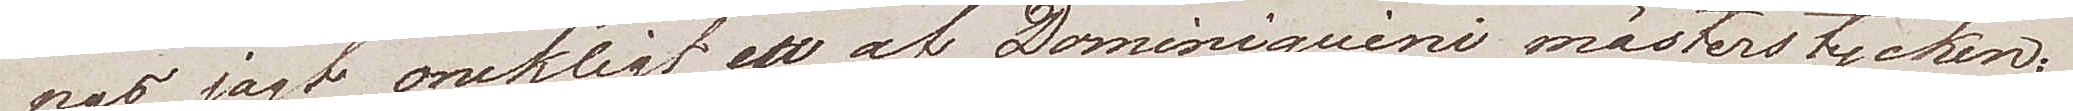nas jagt onekligt ett af Dominiquini mästerstycken;
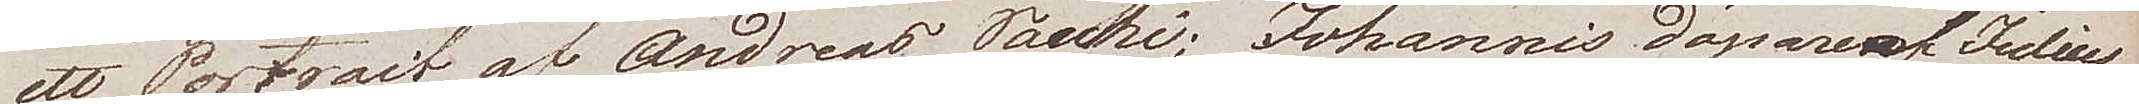ett Portrait af Andreas Pachi; Johannis Döparen af Tedius
